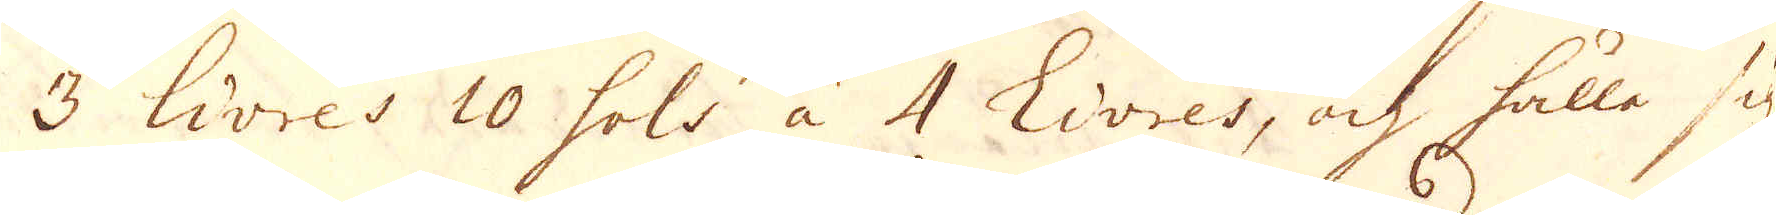3 lires 10 sols à 4 Livres, och hålla sig
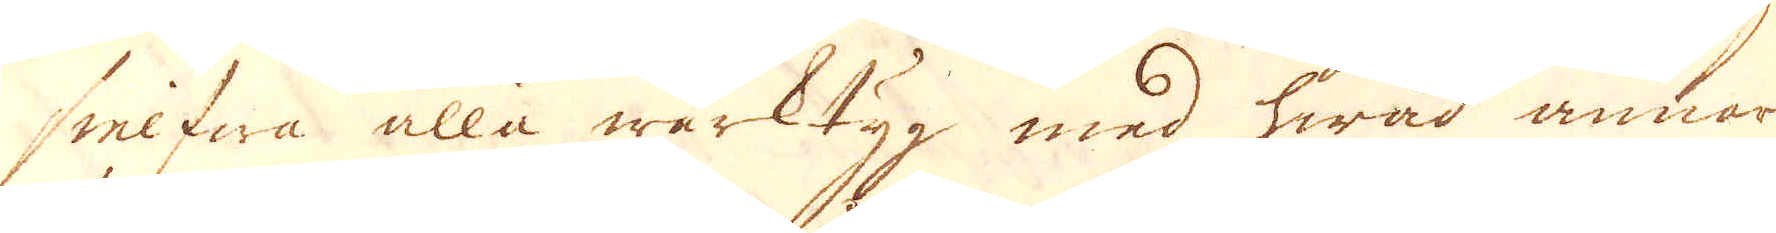sielfwa alla wärktyg med hwad annan
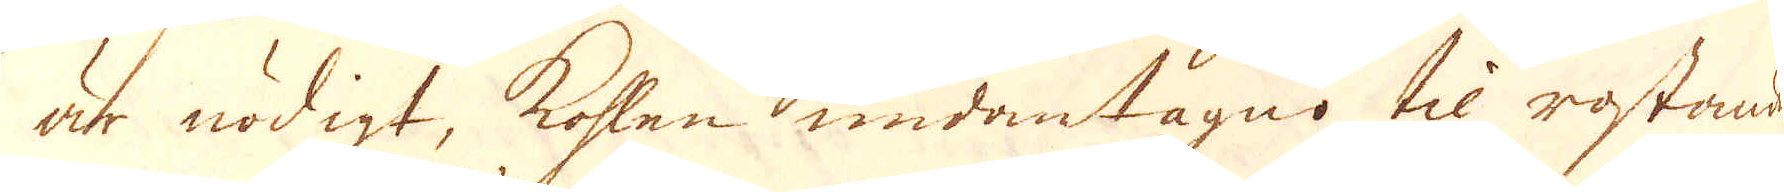är nödigt, kohlen undantagno til rostande,
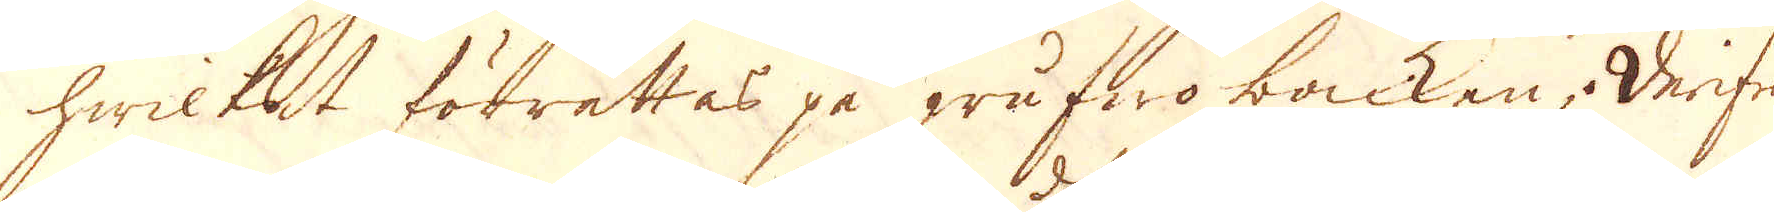hwilket förrättas på grufwo backen; Derifrån
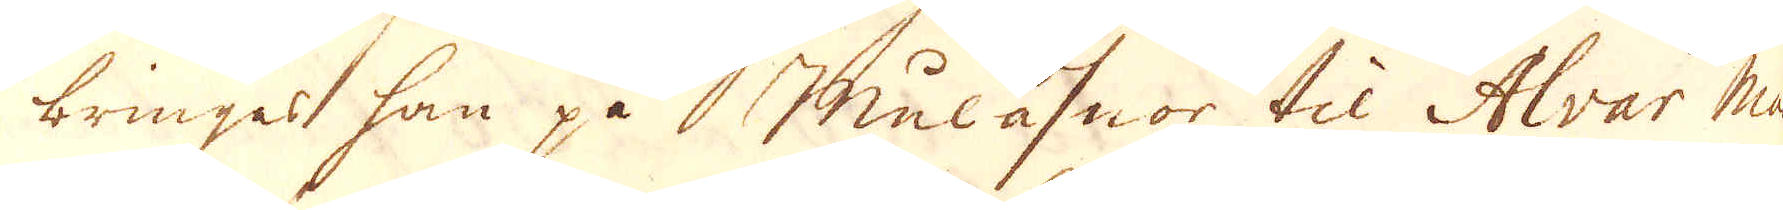bringas han på  Mulåsnor til Alvar Mas-
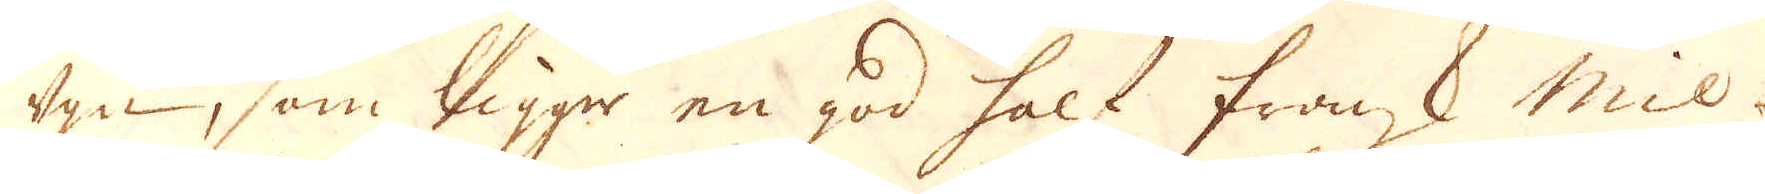ugn, som ligga en god half fransk Mil
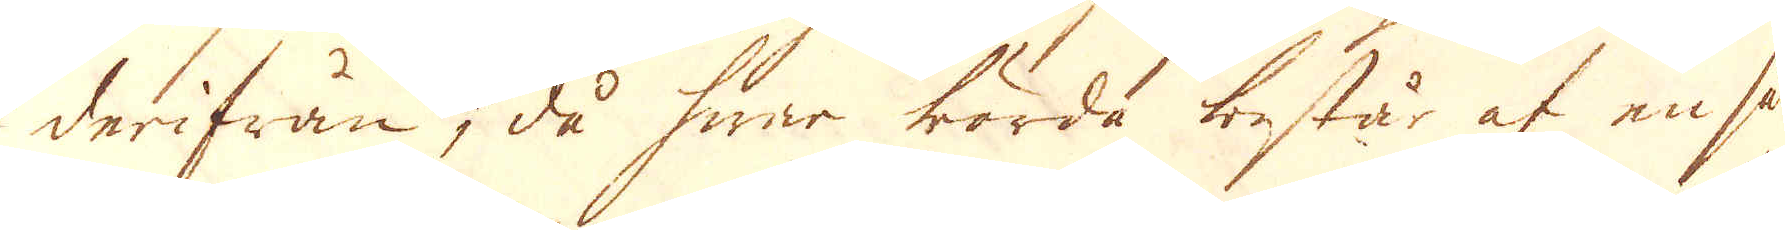derifrån, då hwar börda består af en så-
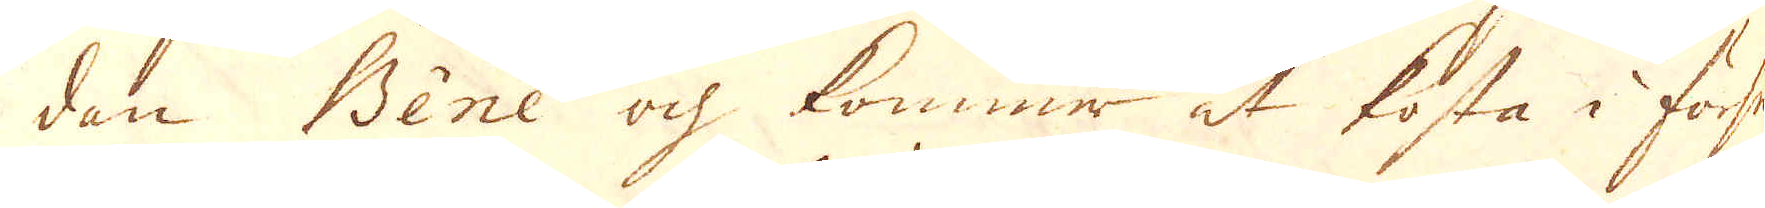dan Bène och kommer at kosta i försel
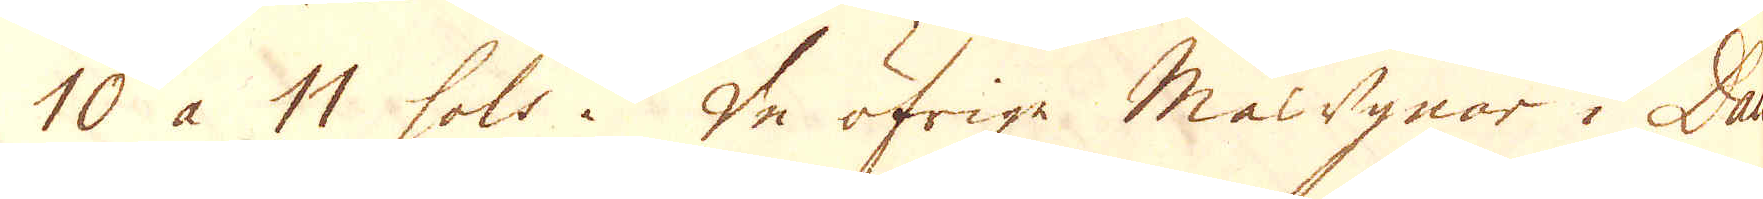10 à 11 sols. De öfrige Masugnar i Dau-
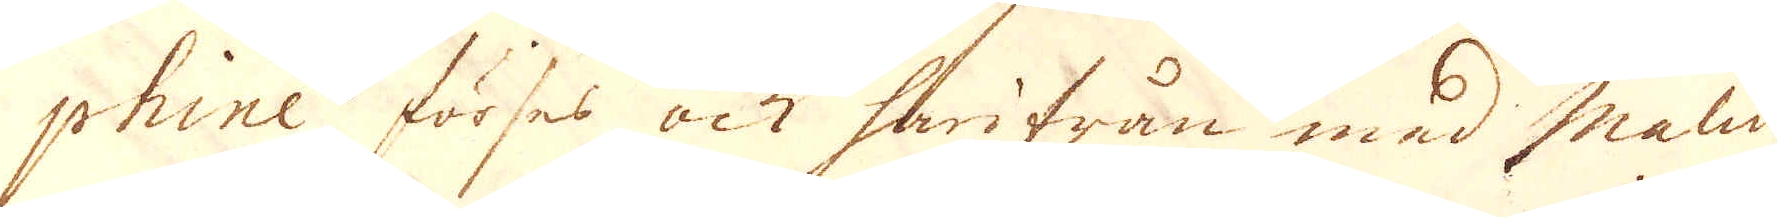phine förses ock härifrån med malm
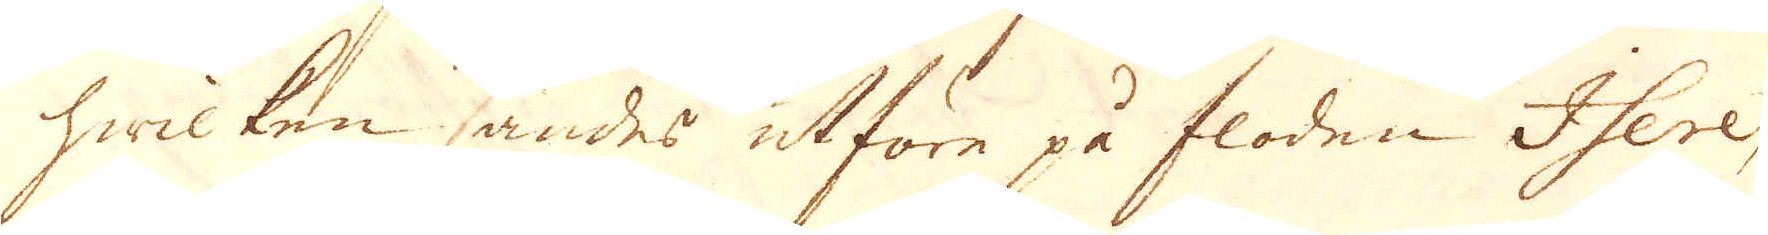hwilken sändes utföre på floden Isere,
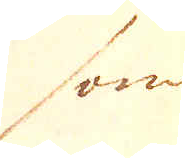som
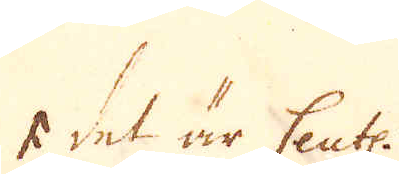* dek är Cent.
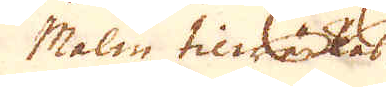Malm tillräknes
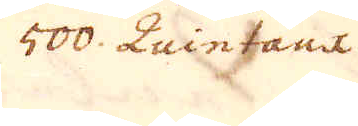500 Quintant.
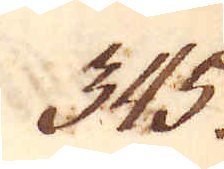345.
